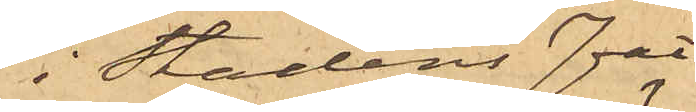i Stadens fat¬
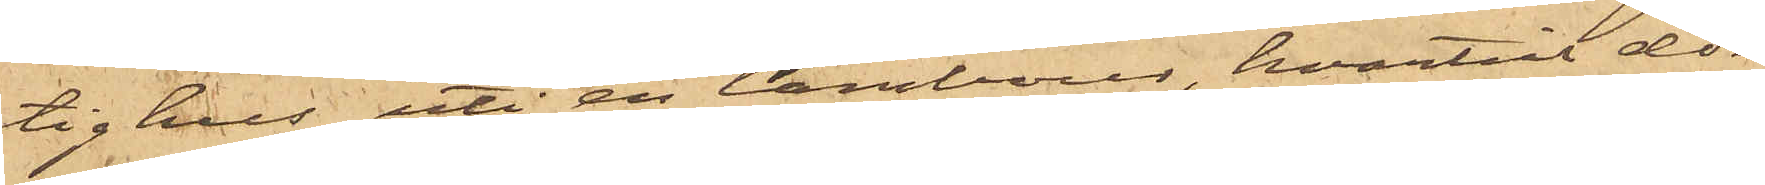tighus uti en tambour, hvartill dör¬
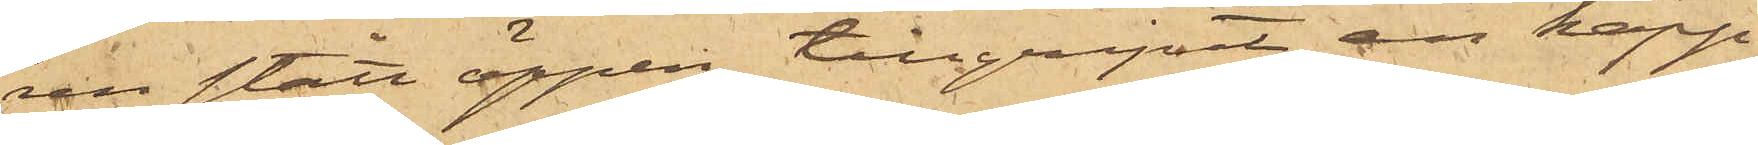ren stått öppen, tillgripit en käpp
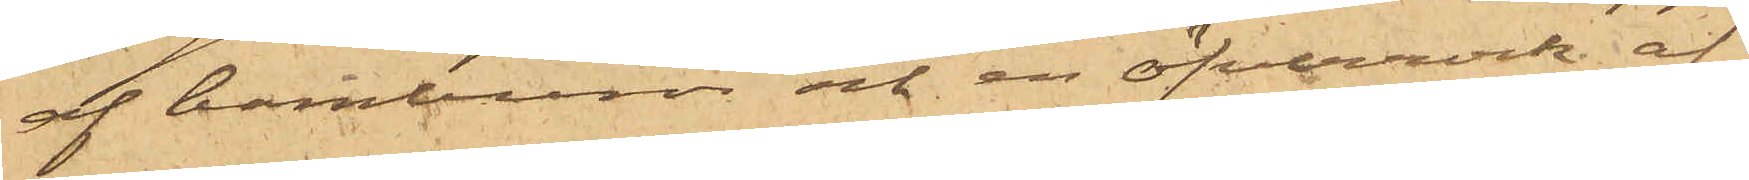af bamburör och en öfverrock af
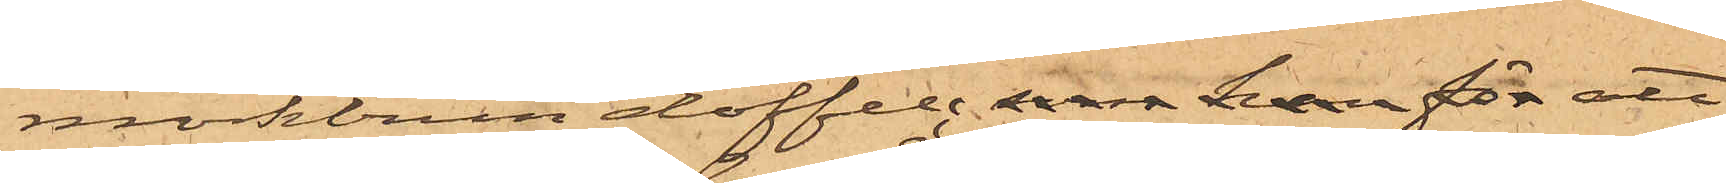mörkbrun doffel; som han för att
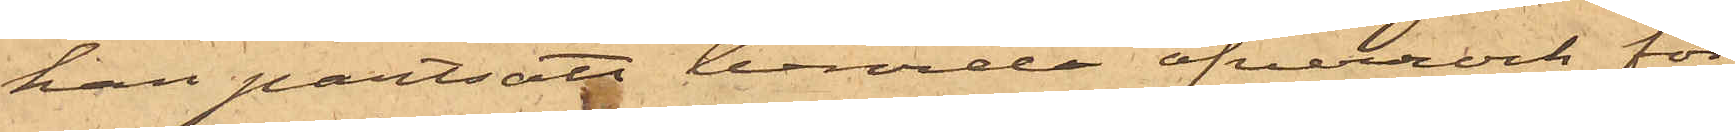han pantsatt berörda öfverrock för
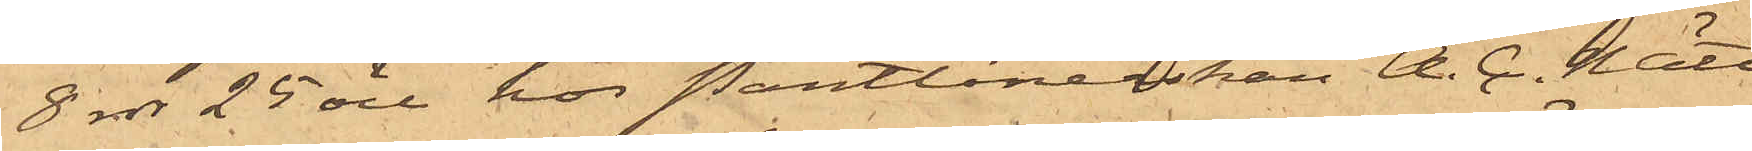8 rdr 25 öre hos Pantlånerskan A. C. Nätt
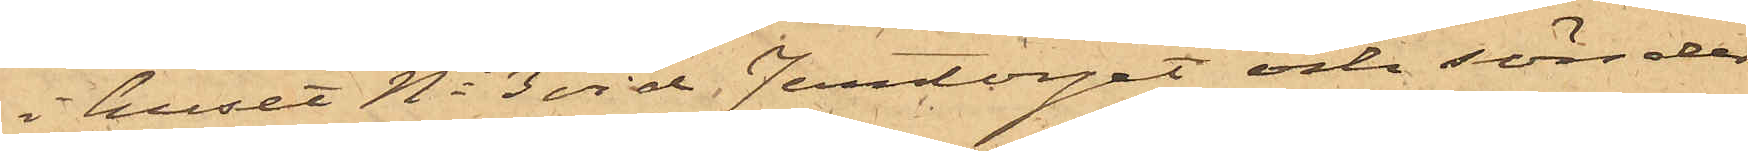i huset No 3 vid Jerntorget och sönder¬
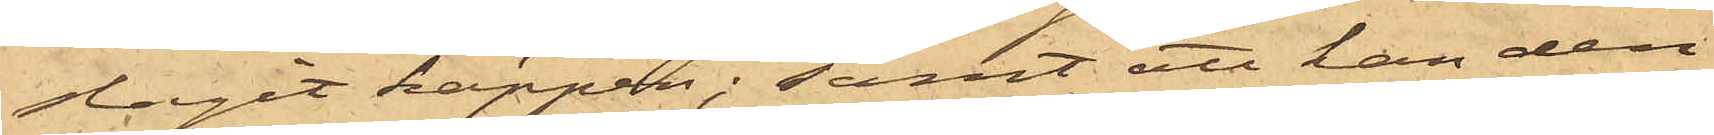slagit käppen; samt att han den
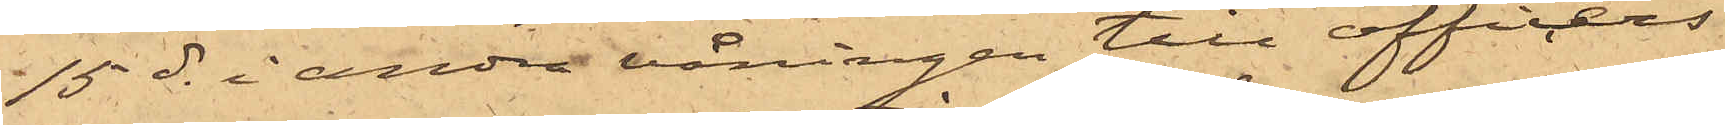15 ds i andra våningen till officers¬
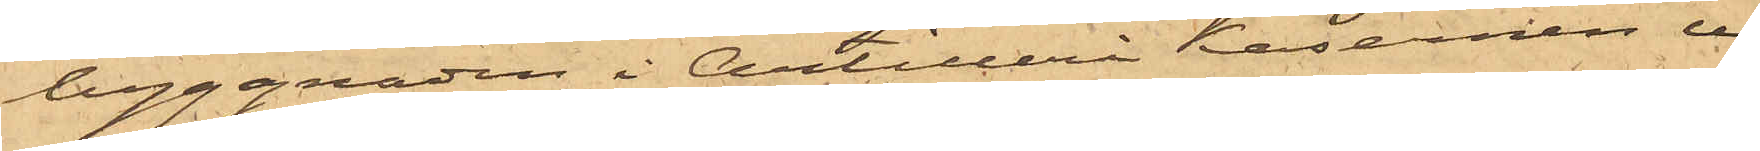byggnaden i Artillerikasernen ur
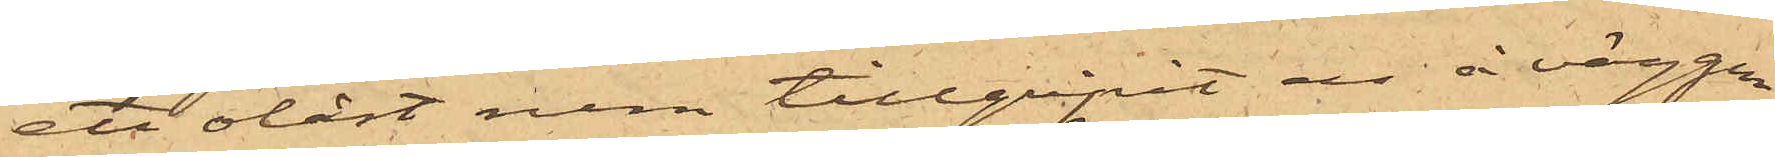ett olåst rum tillgripit en å väggen
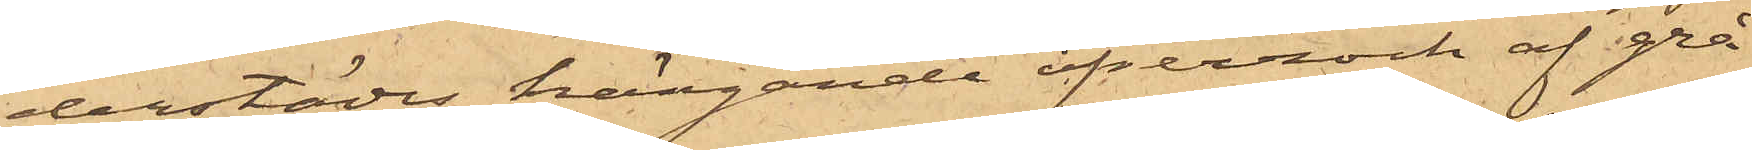derstädes hängande öfverrock af grå
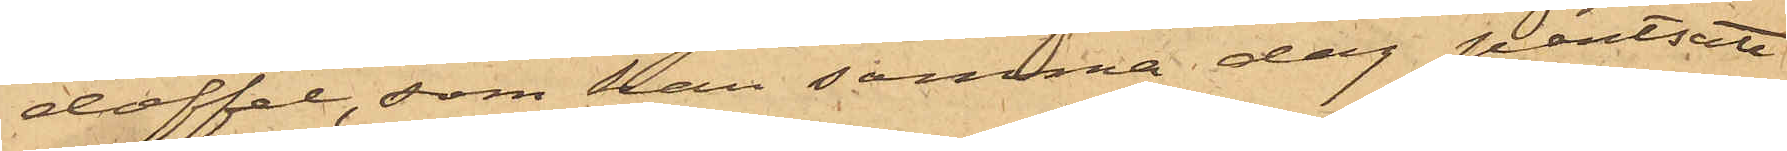doffel, som han samma dag pantsatt
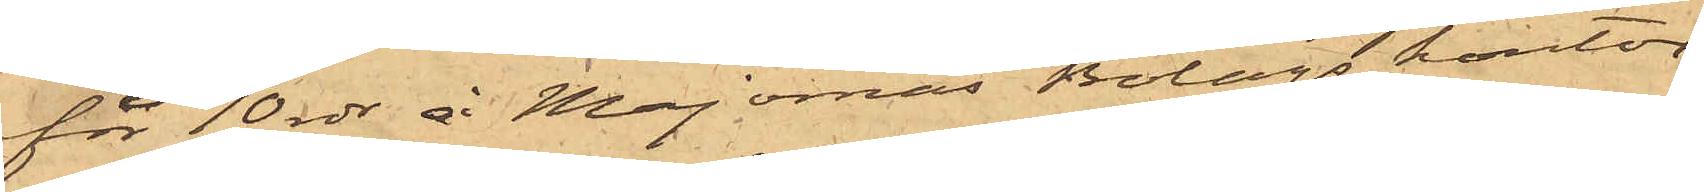för 10 rdr å Majornas Bolags kontor
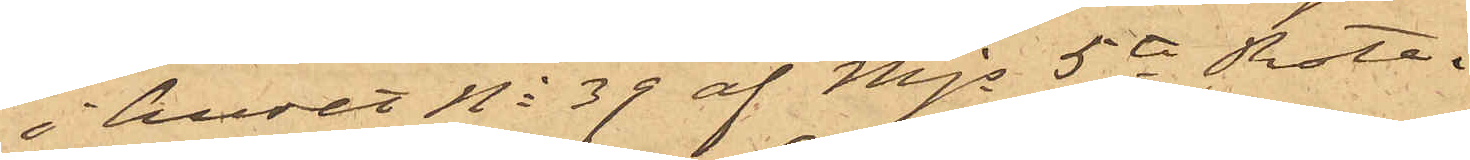i huset No 39 af Mjs 5te Rote.
